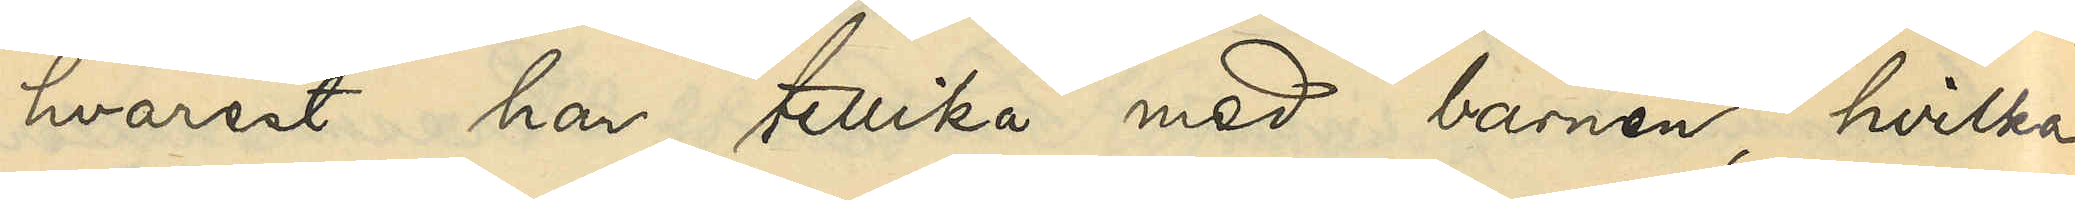hvarest han tillika med barnen, hvilka
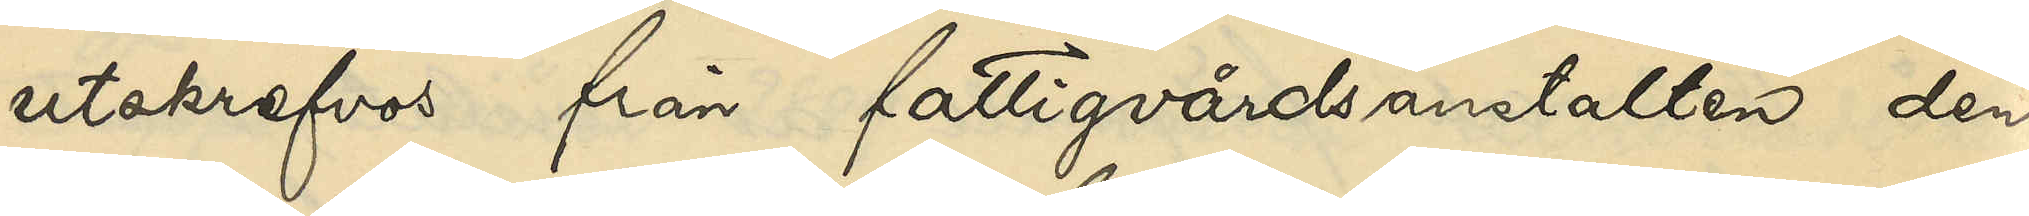utskrefvos från fattigvårdsanstalten den
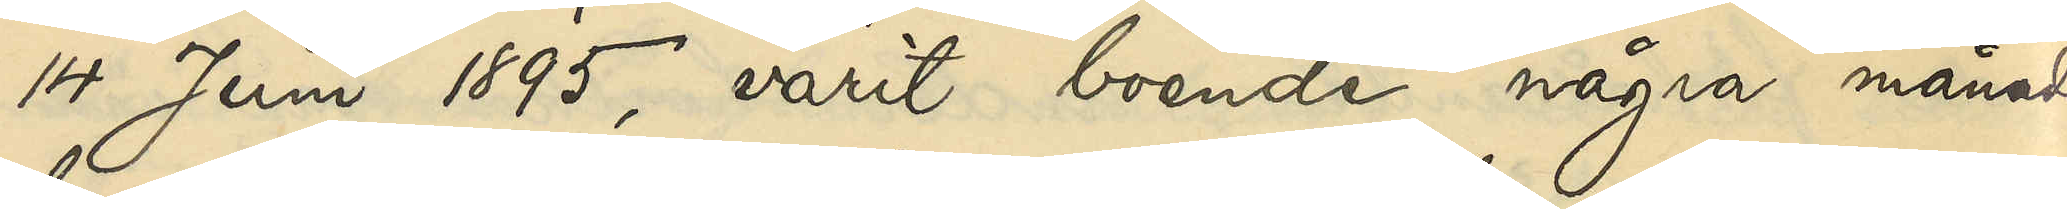14 Juni 1895, varit boende några månader,
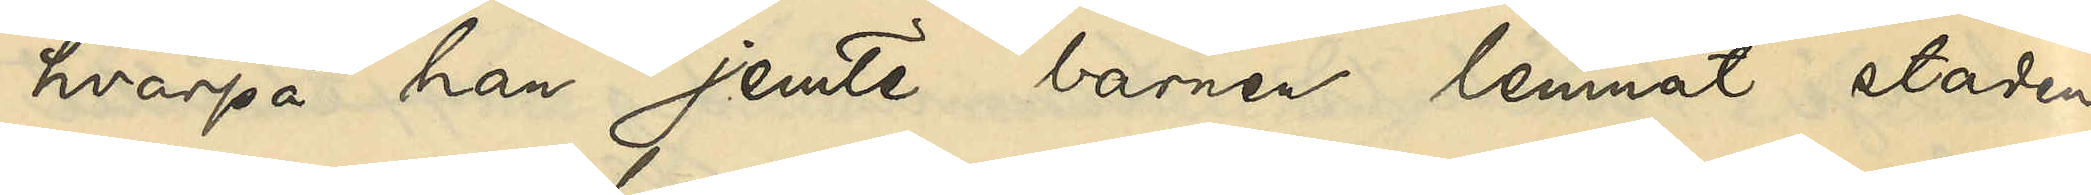hvarpå han jemte barnen lemnat staden,
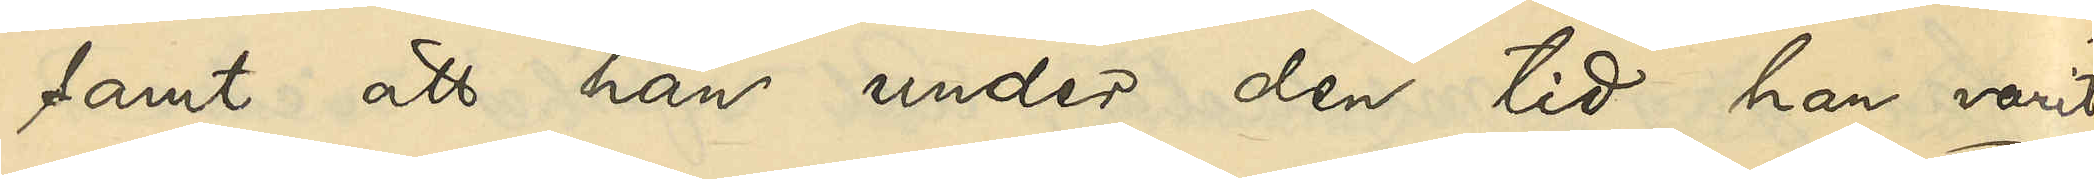samt att han under den tid han varit
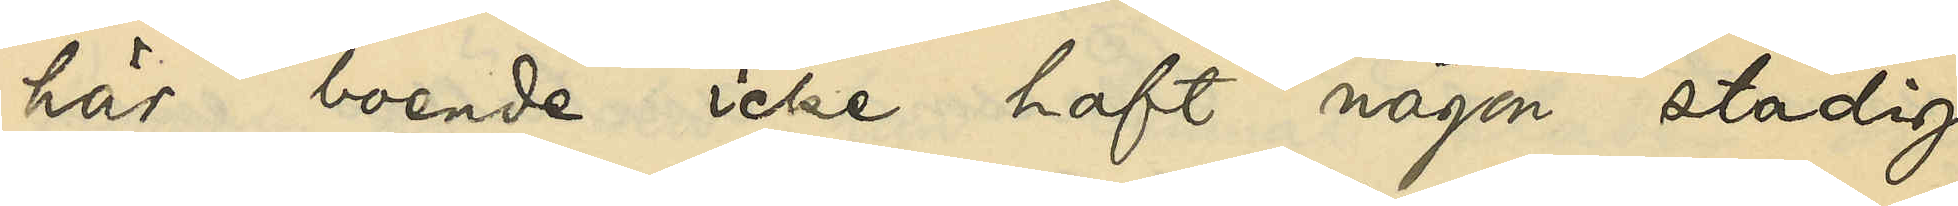här boende icke haft någon stadig
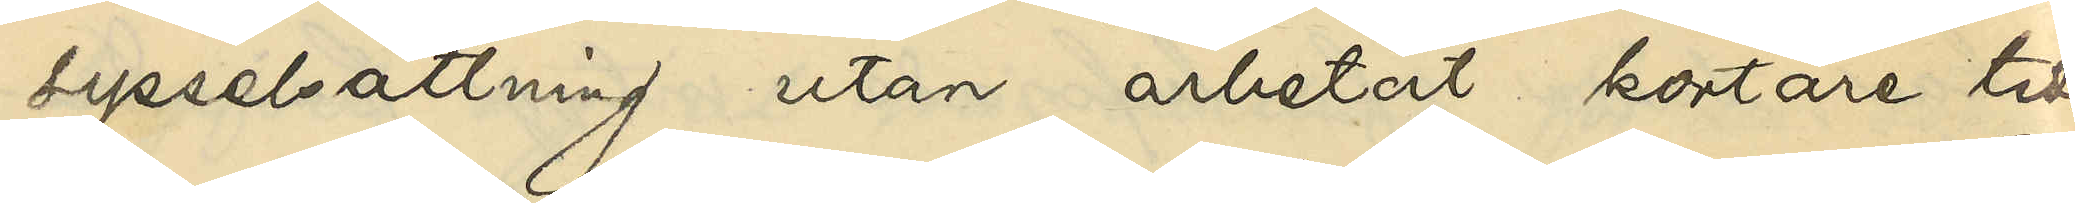sysselsättning utan arbetat kortare tider
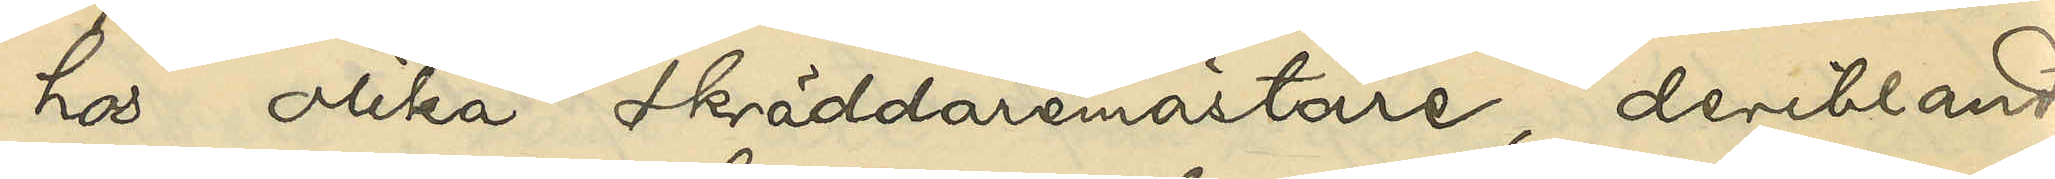hos olika skräddaremästare, deribland
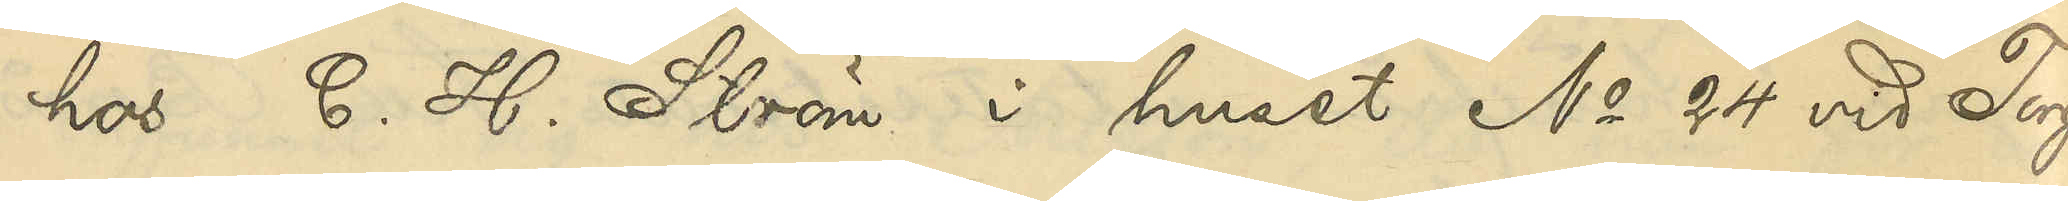hos C. H. Ström i huset No 24 vid Torg¬
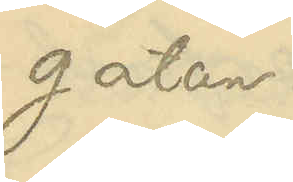gatan.
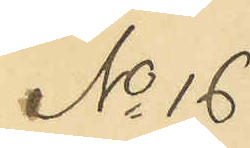No 16
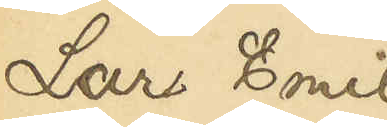Lars Emil
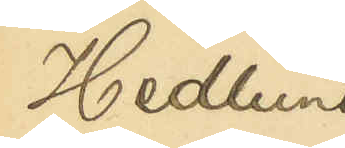Hedlund
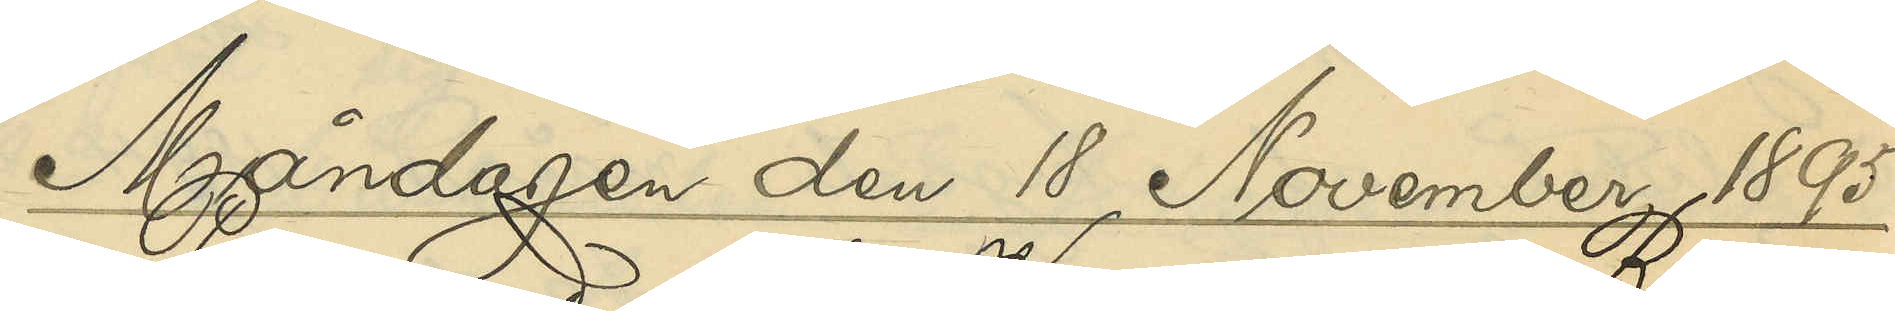Måndagen den 18 November 1895.
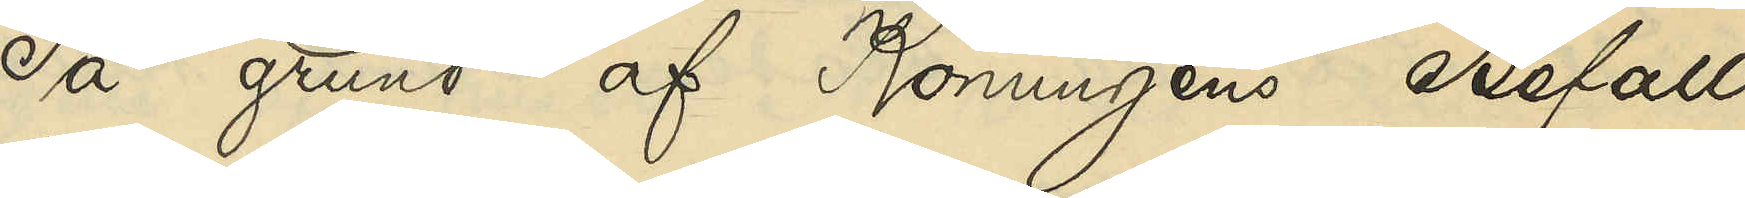På grund af Konungens Befall¬
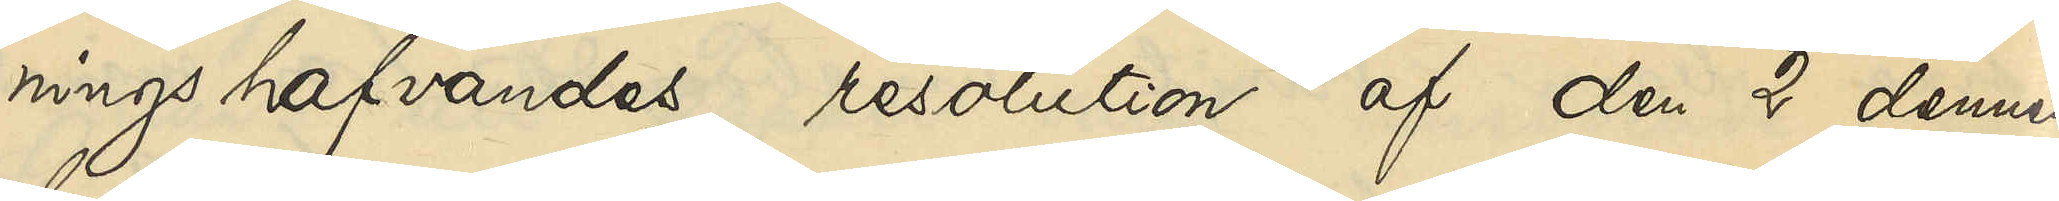ningshafvandes resolution af den 2 dennes,
